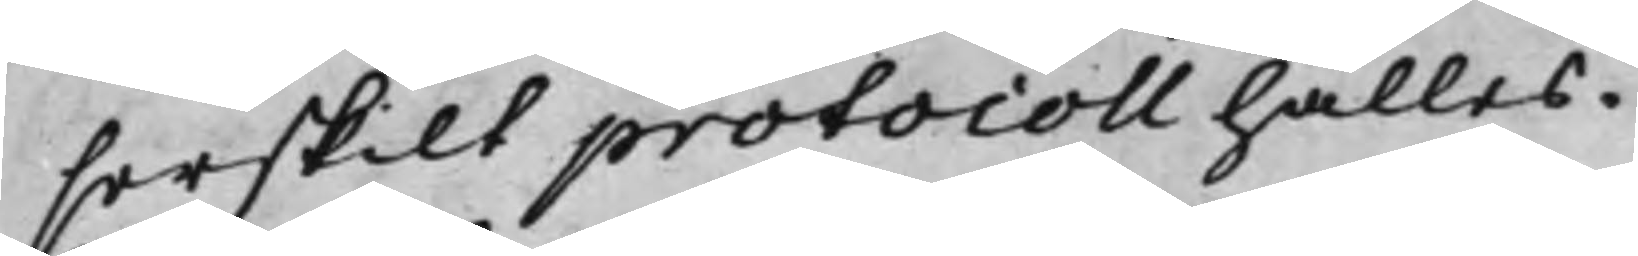serskilt protocoll hålles.
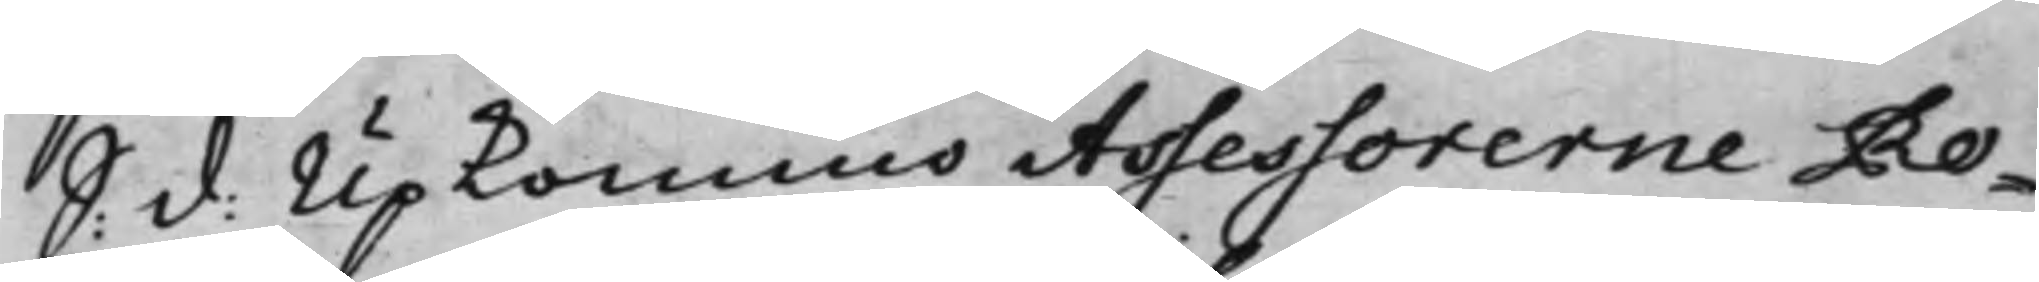S: d: Upkommo Assessorerne Ro¬
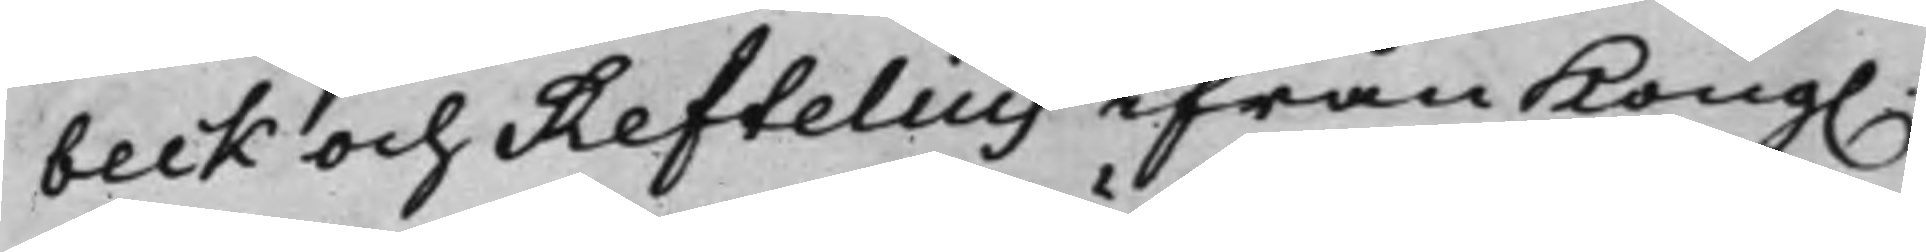beck och Reftelius ifrån Kong.
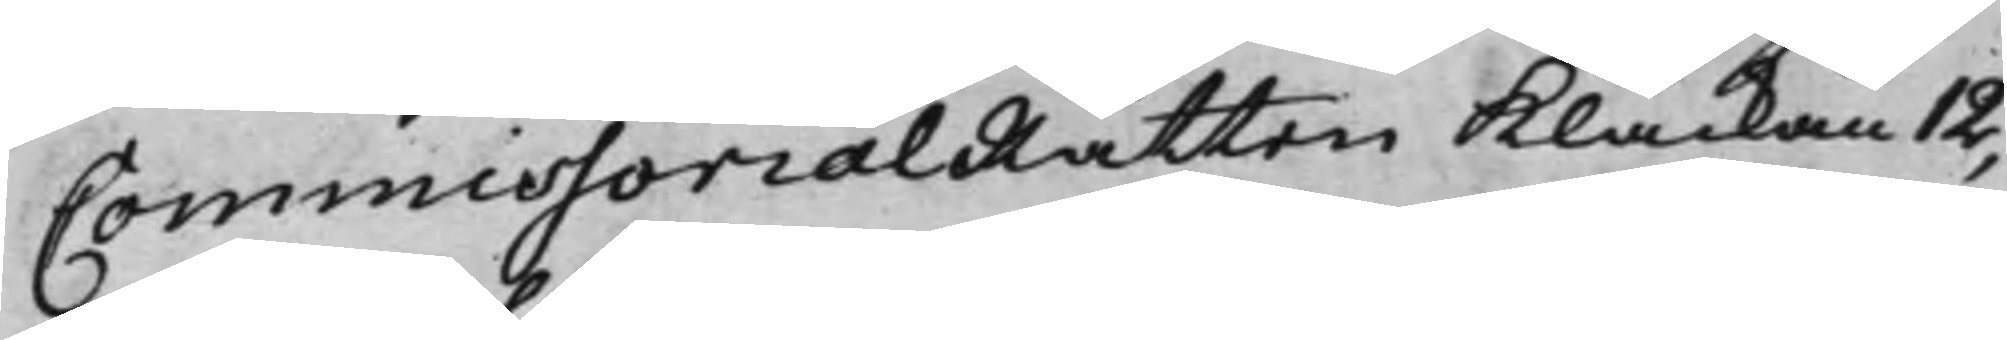CommissorialRätten Klåckan 12,
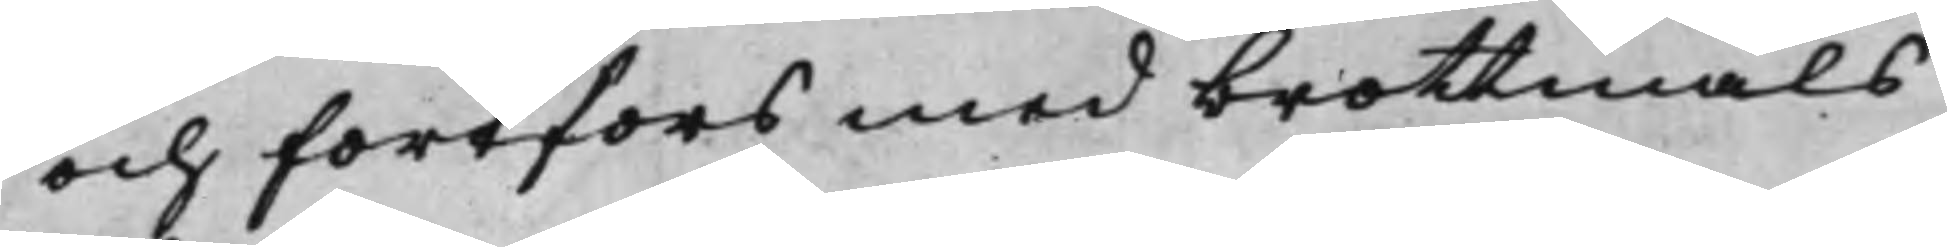och fortfors med brottmåls
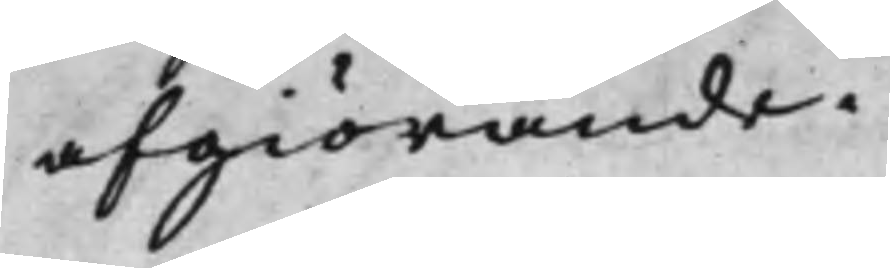afgiörande.
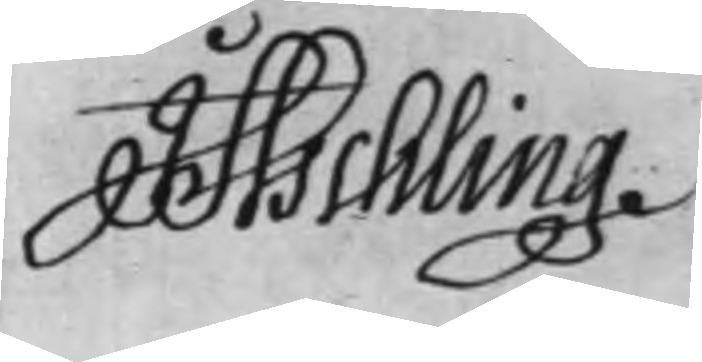J Aschling
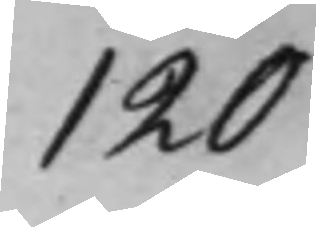120
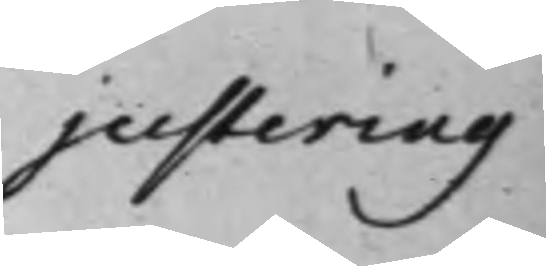justering
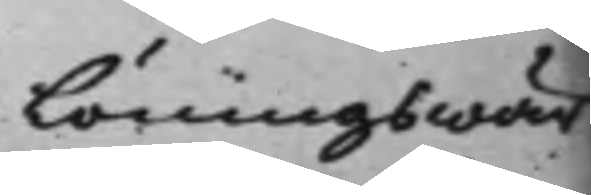Löningswär¬
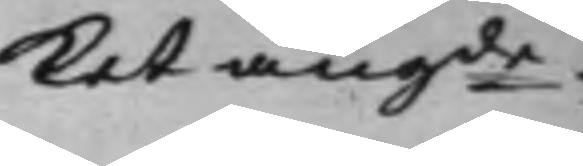ket angde
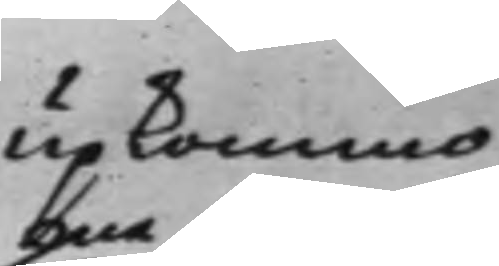Upkommo
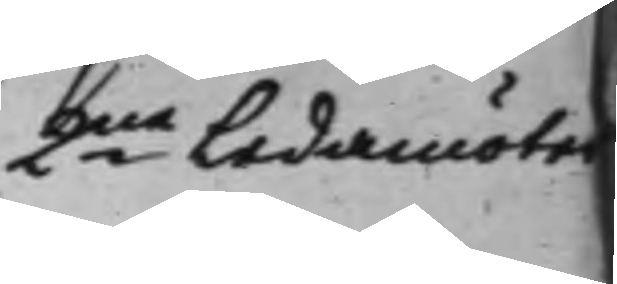2ne Ledamöter
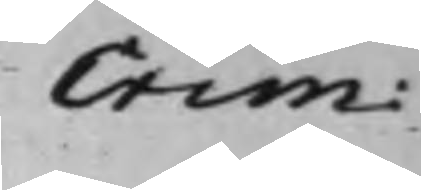Crim:
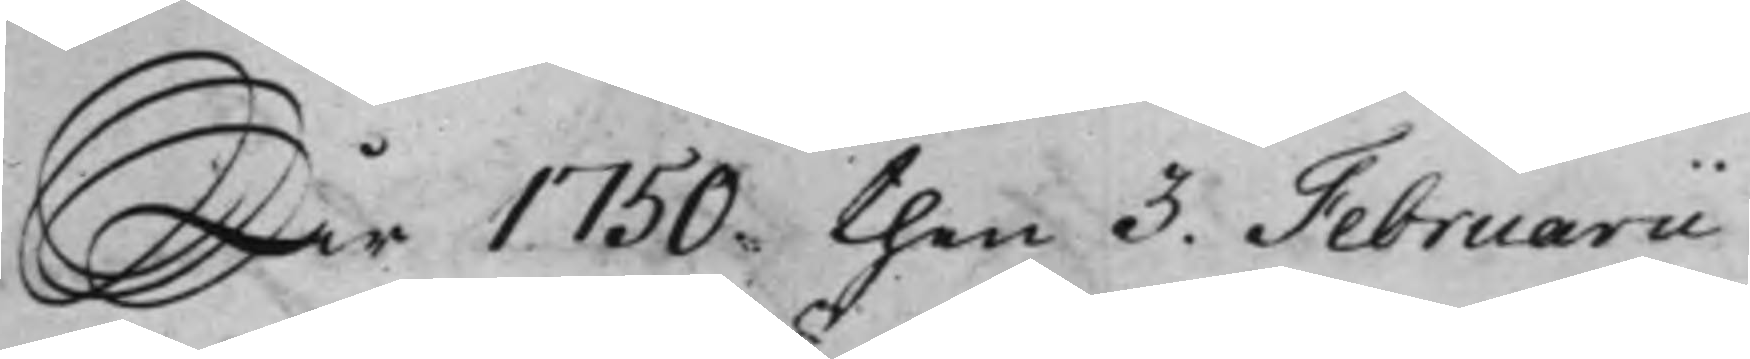År 1750 then 3. Februarii
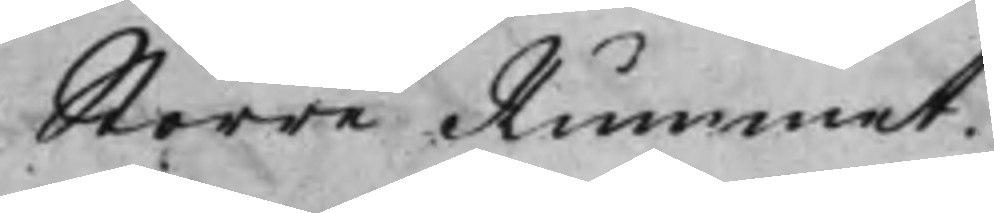Större Rummet.
